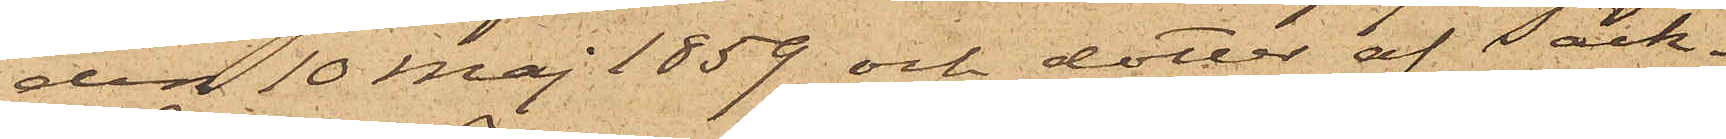den 10 Maj 1859 och dotter af Säck¬
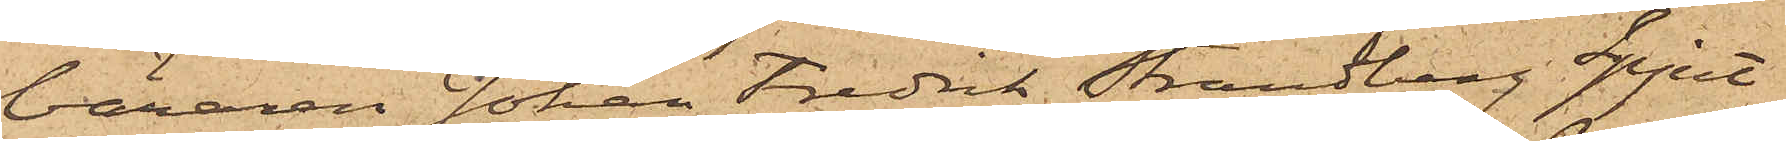bäraren Johan Fredrik Strandberg Spjut
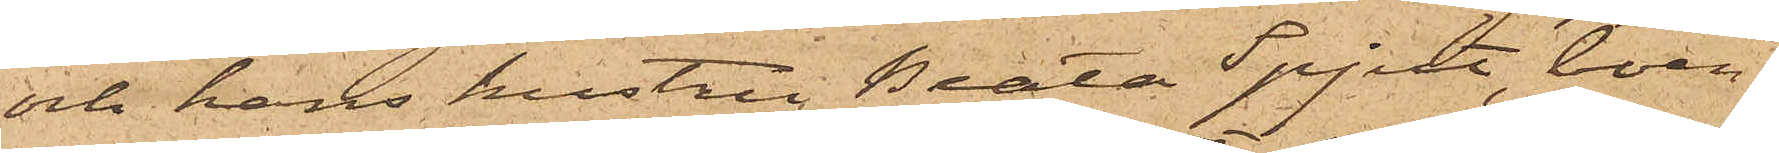och hans hustru Beata Spjut, boen¬
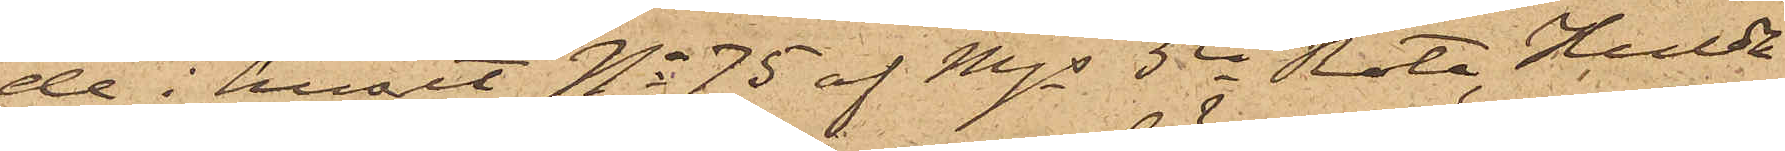de i huset No 75 af Mjs 5te Rote, Hulda
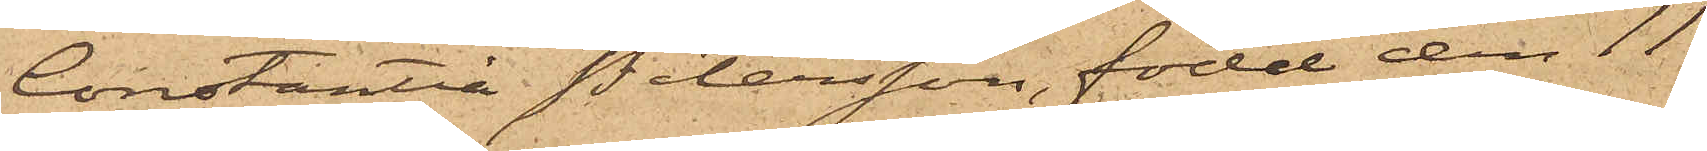Constantia Petersson, född den 11
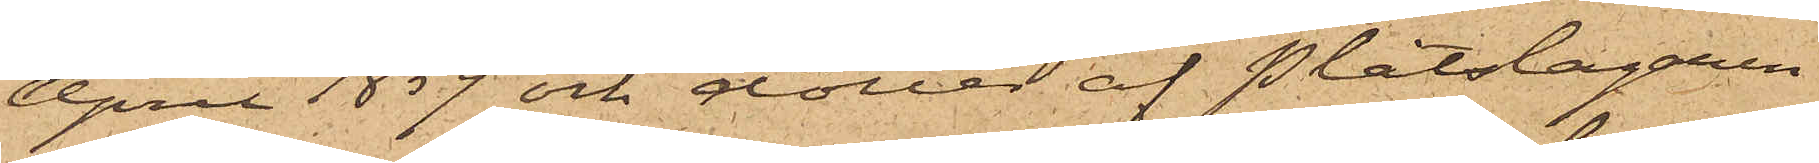April 1859 och dotter af Plåtslagaren
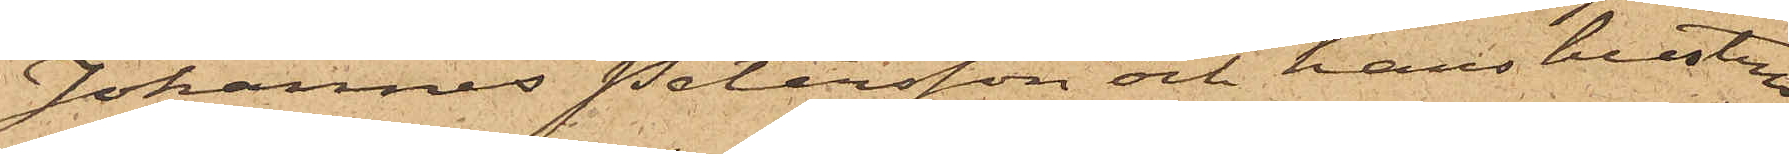Johannes Petersson och hans hustru
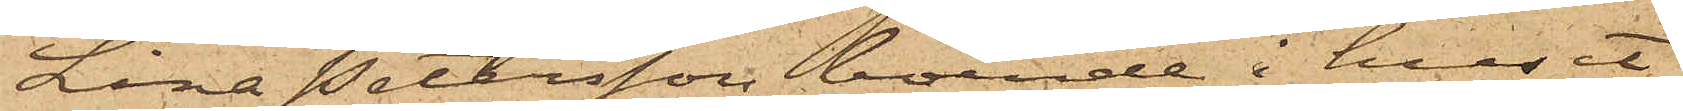Lina Petersson, boende i huset
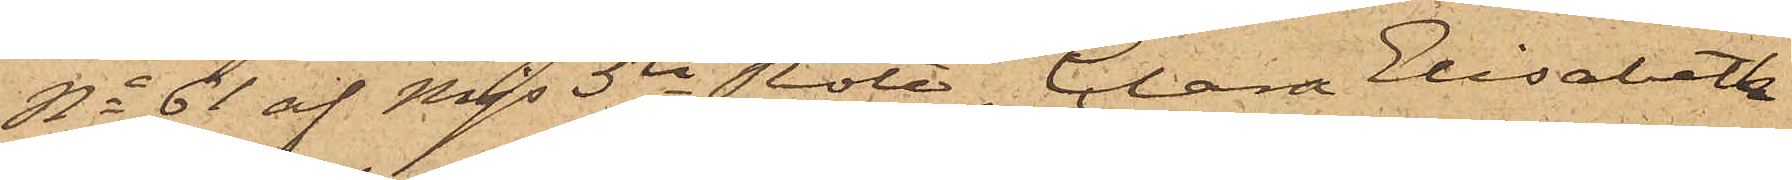No 61 af Mjs 5te Rote, Clara Elisabeth
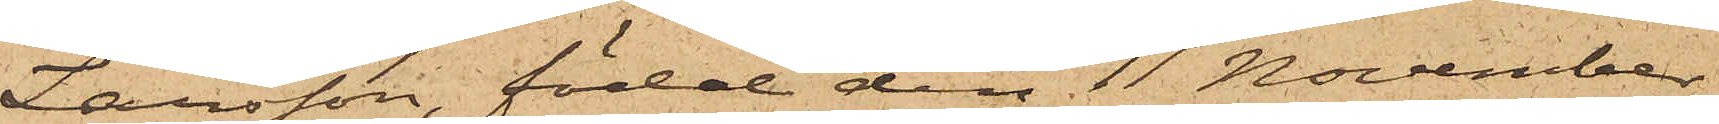Larsson, född den 11 November
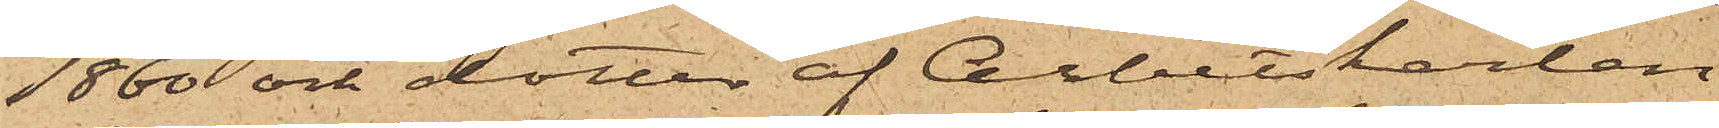1860 och dotter af Arbetskarlen
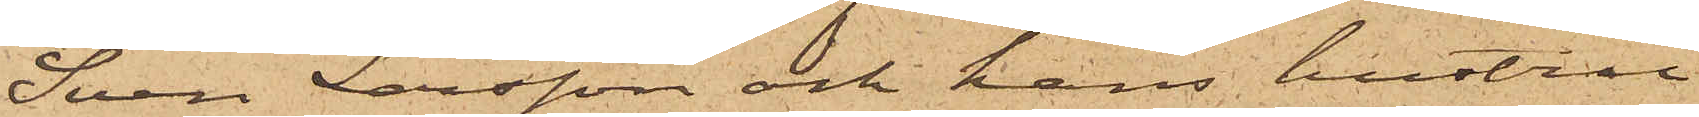Sven Larsson och hans hustru
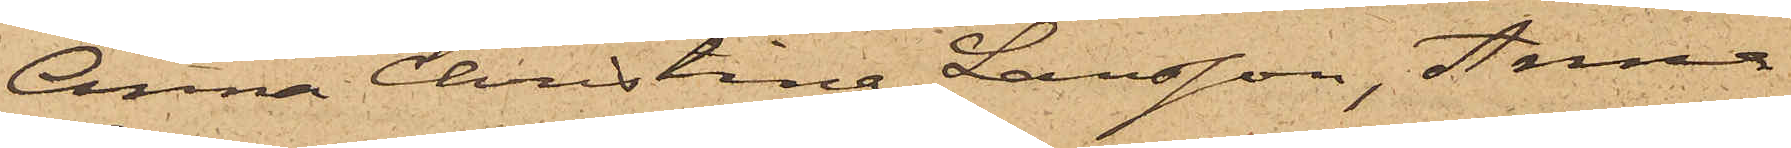Anna Christina Larsson, Anna
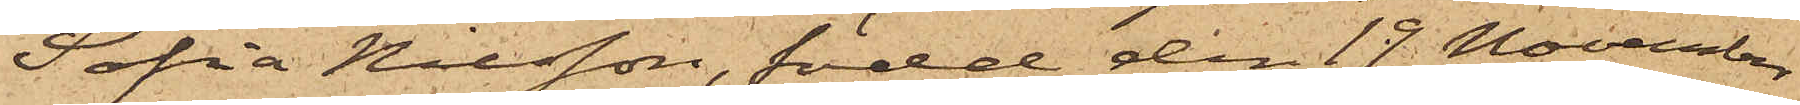Sofia Nilsson, född den 19 November
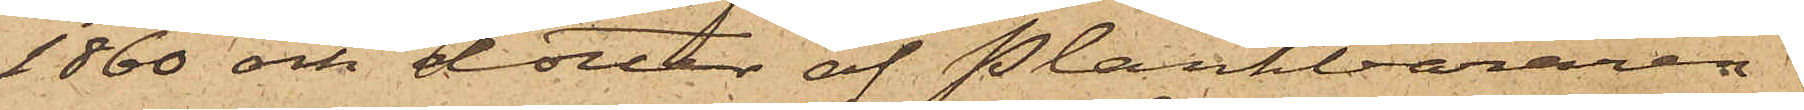1860 och dotter af Plankbäraren
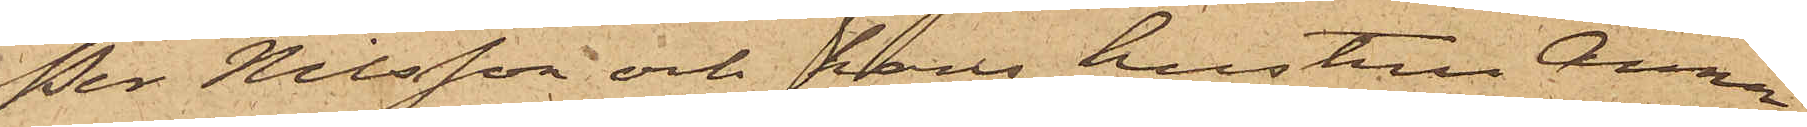Per Nilsson och hans hustru Anna
